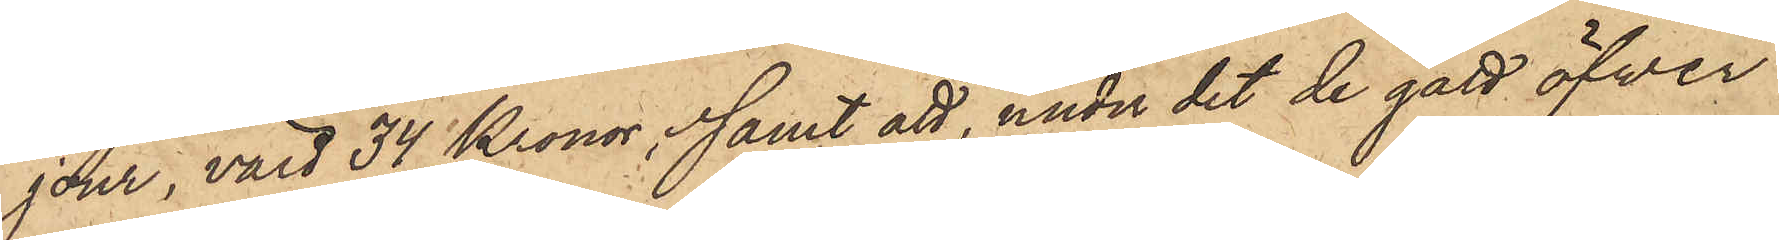jour, värd 34 Kronor; samt att, under det de gått öfver
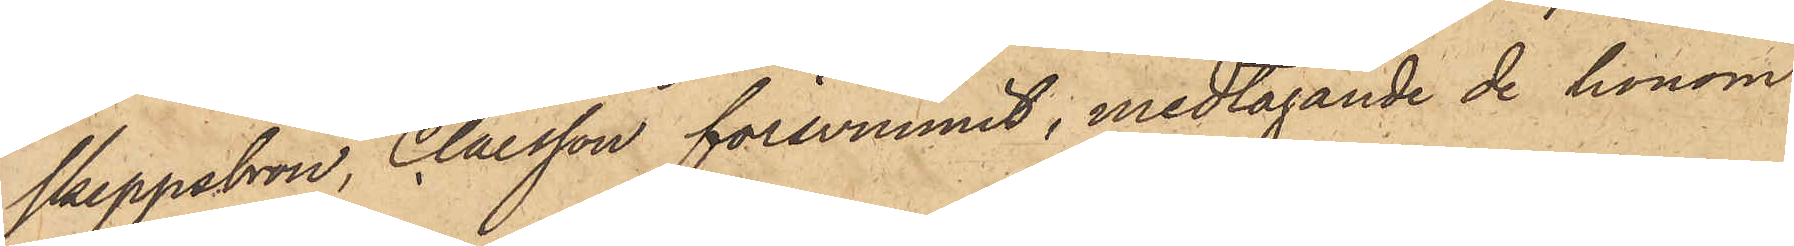Skeppsbron, Claesson försvunnit, medtagande de honom
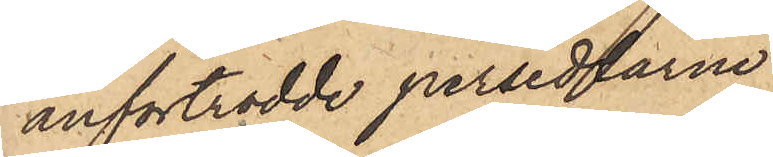anförtrodde persedlarne.
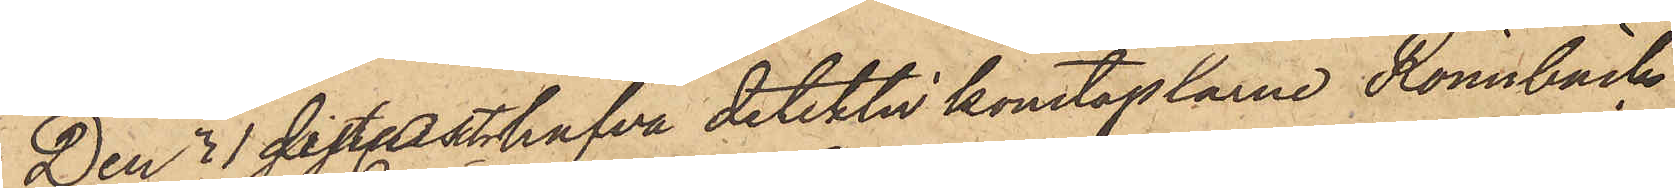Den  31 sist. Okt hafva detektivkonstaplarne Rönnbäck
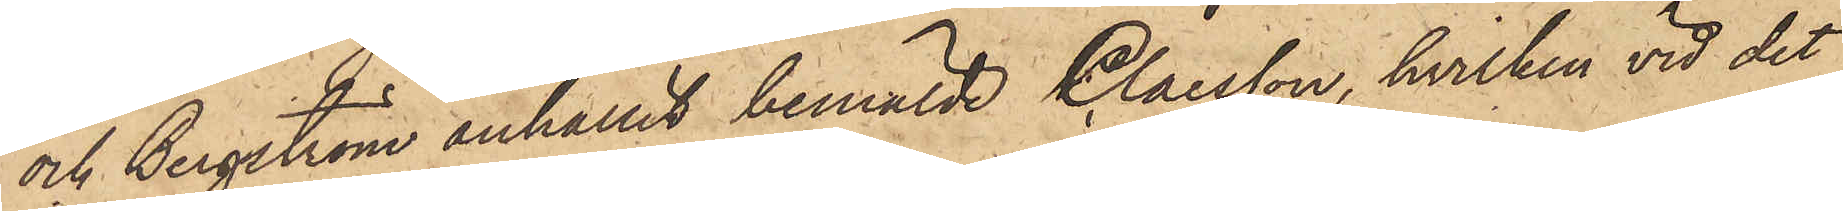och Bergström anhållit bemälde Claesson, hvilken vid det
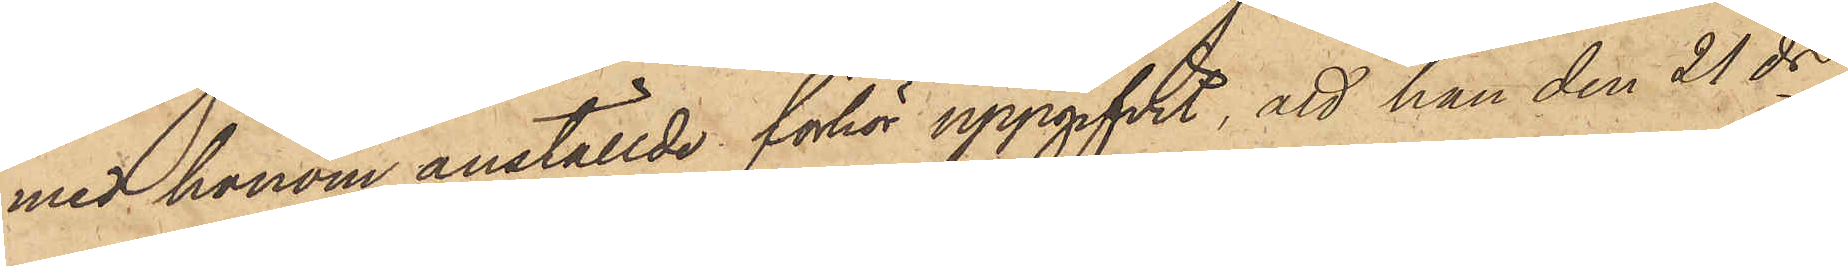med honom anställde förhör uppgifvit, att han den 21 ds
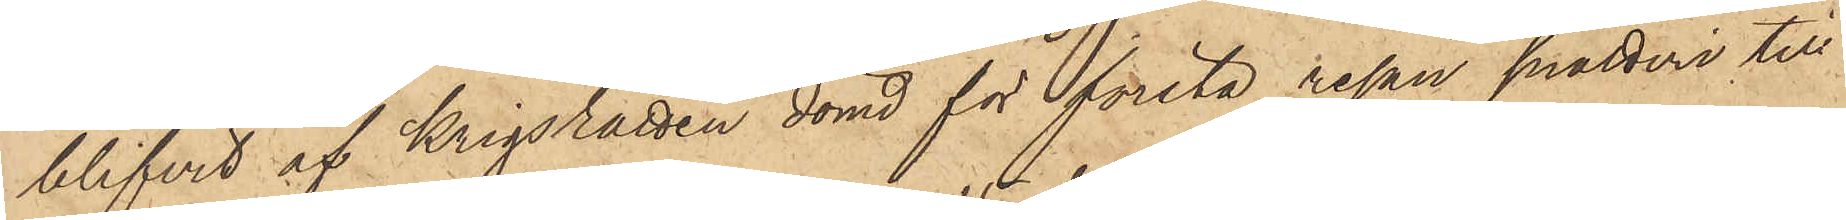blifvit af krigsrätten dömd för första resan snatteri till
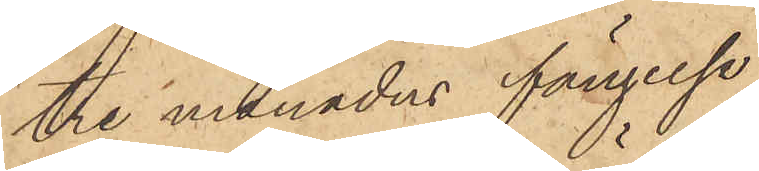tre månaders fängelse,
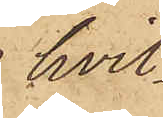hvil¬
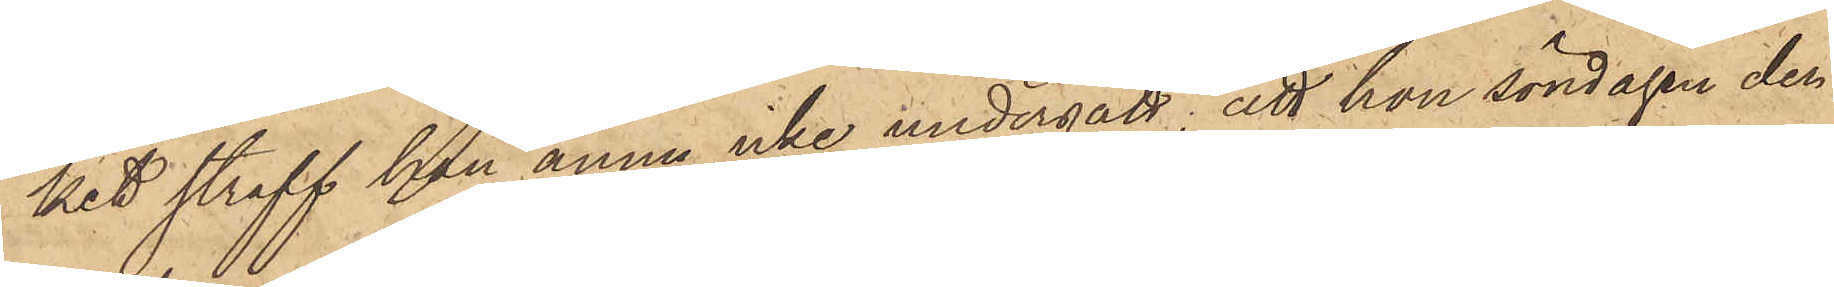ket straff han ännu icke undergått; att han söndagen den
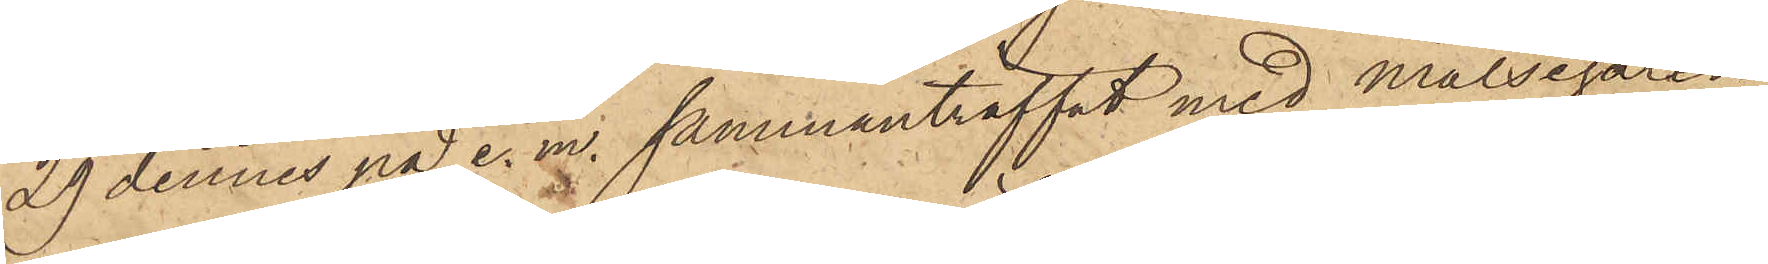29 dennes på e. m. sammanträffat med målsegaren
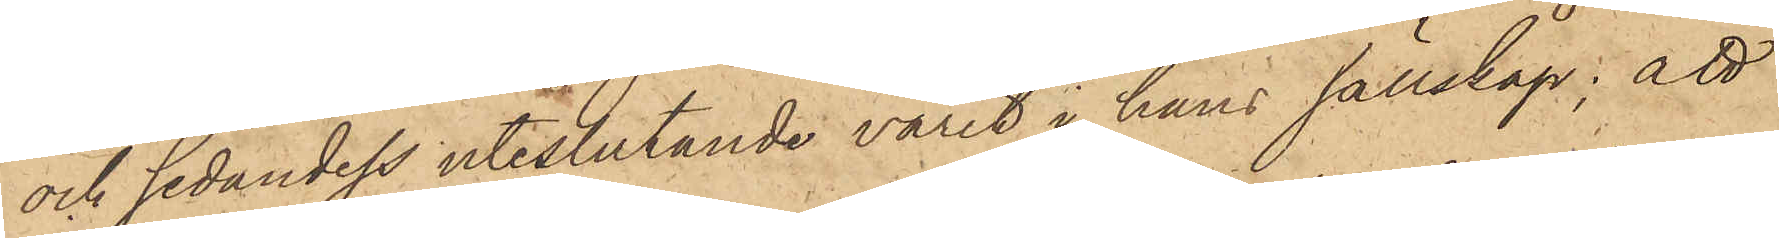och sedan dess uteslutande varit i hans sällskap; att
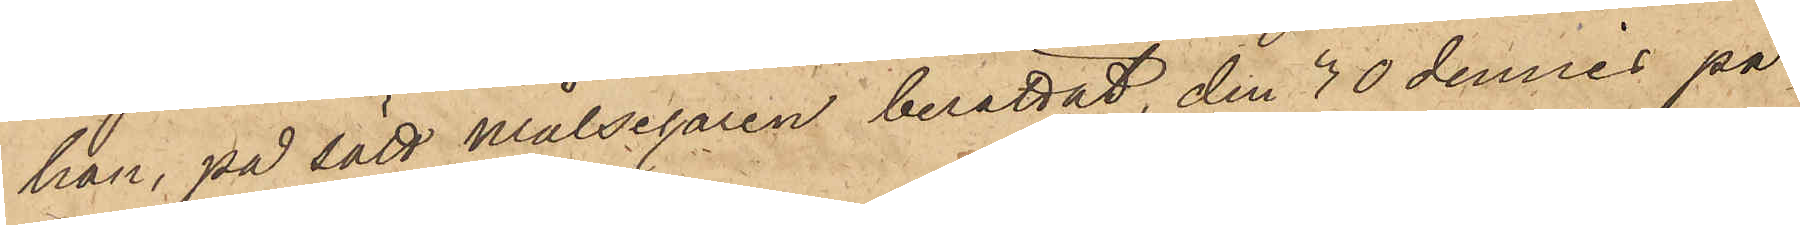han, på sätt målsegaren berättat, den 30 dennes på
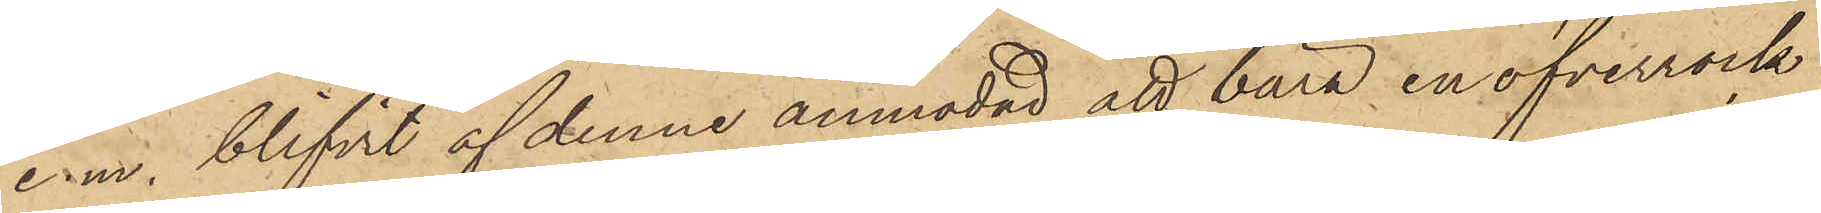e.m. blifvit af denne anmodad att bära en öfverrock
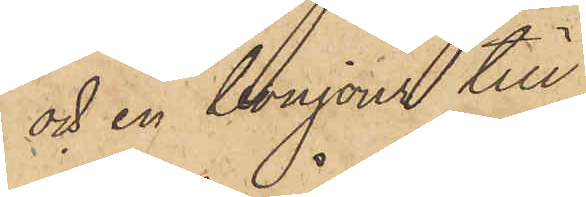och en bonjour till
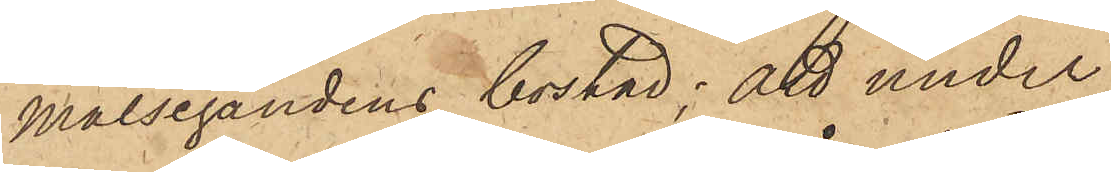målsägandens bostad; att under
